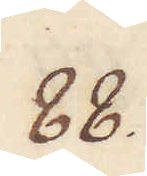88.
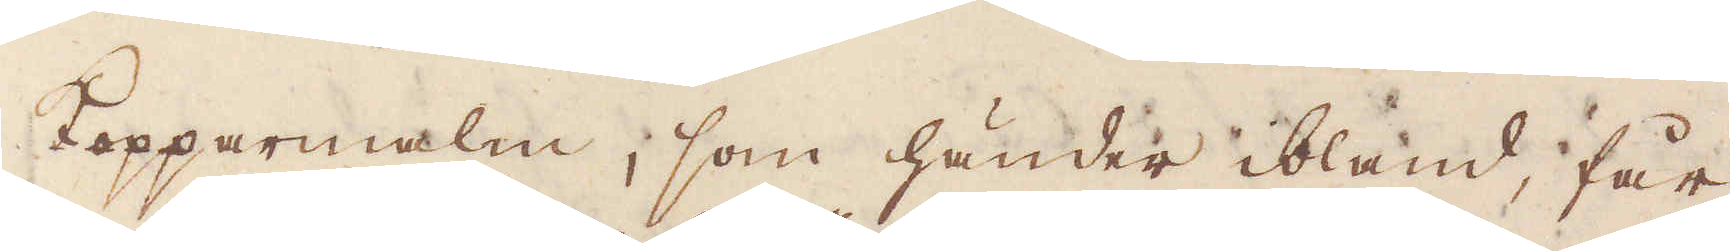Kopparmalm, som händer ibland, får
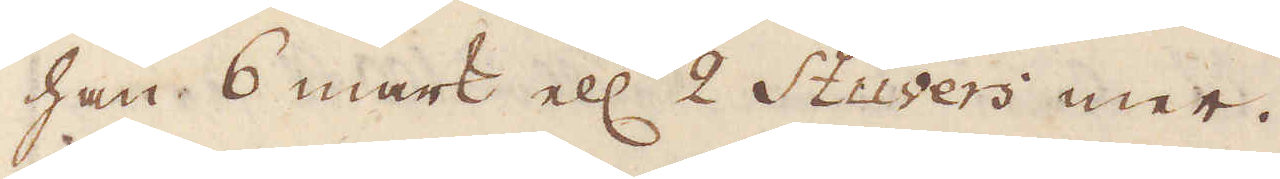han 6 mark ell: 2 Stuvers mer.
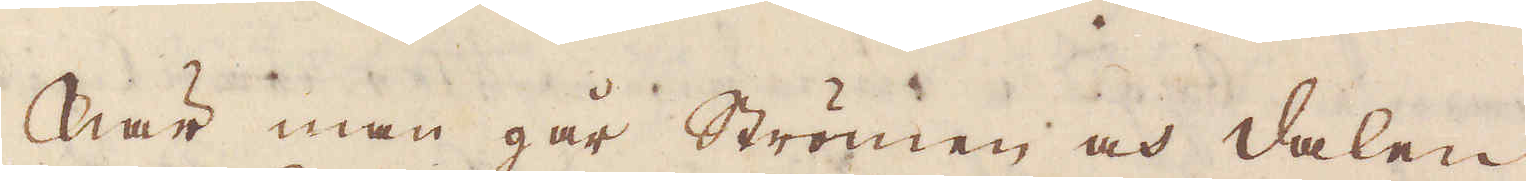När man går Strömen och dalen
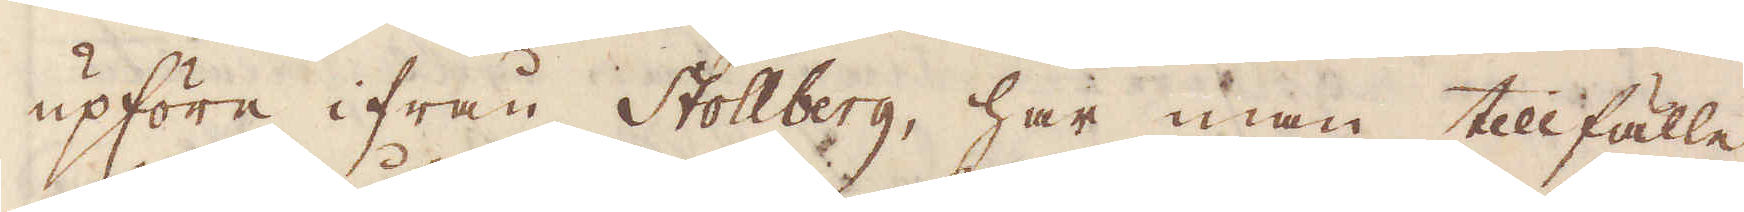upföre ifrån Stollberg, har man tillfälle
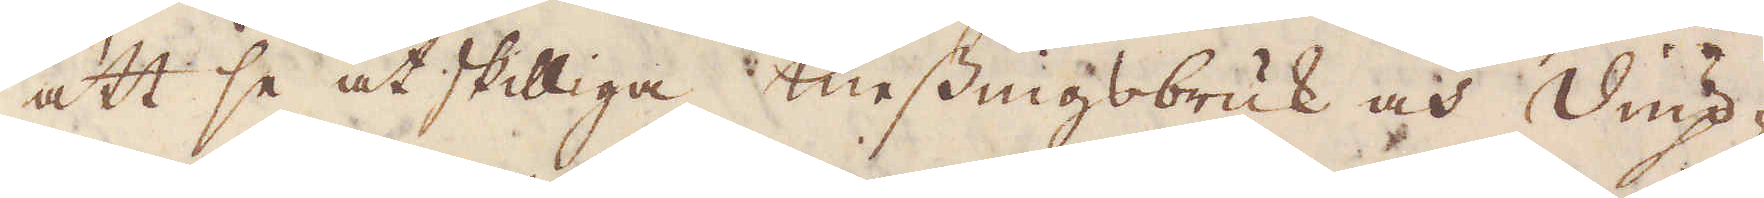att se åtskilliga messingsbruk och Diup-
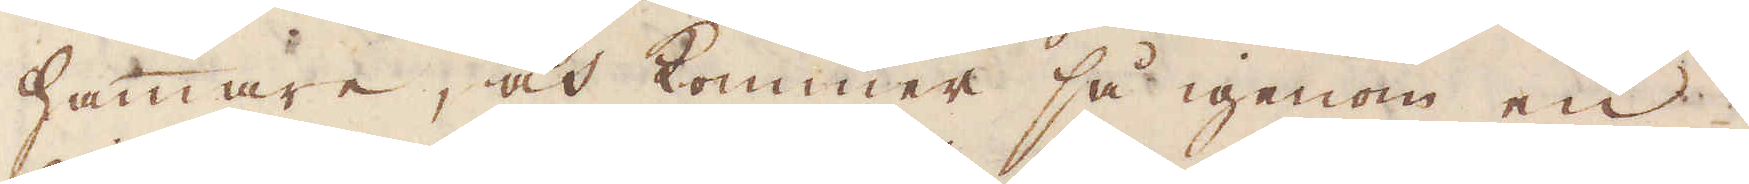hammare, och kommer så igenom en
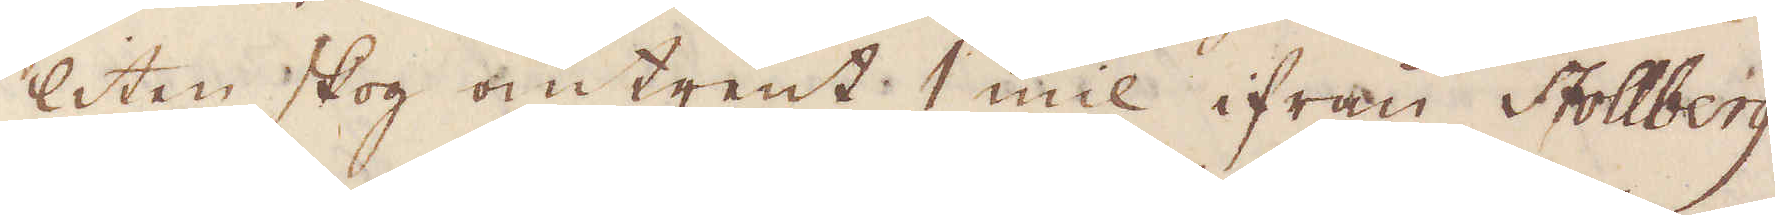liten skog omtrent 1 mil ifrån Stollberg
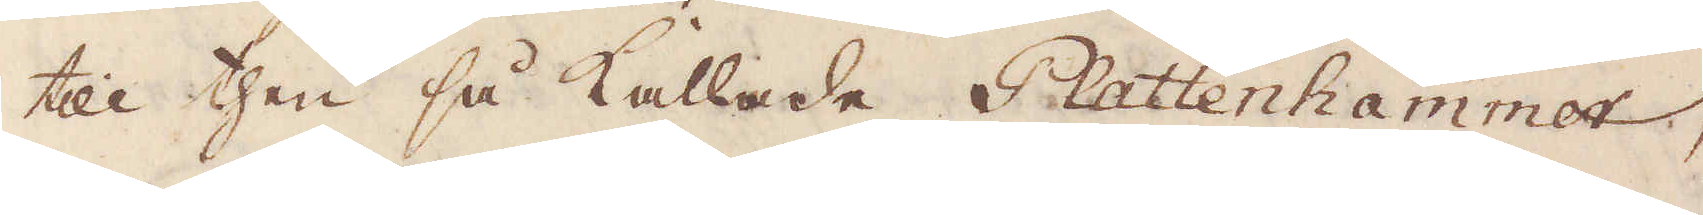till then så kallade Plattenhammer,
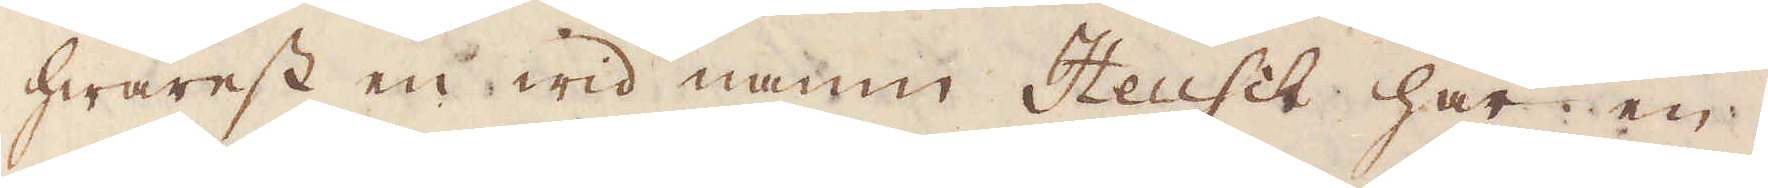hwarest en wid namn Heusch har en
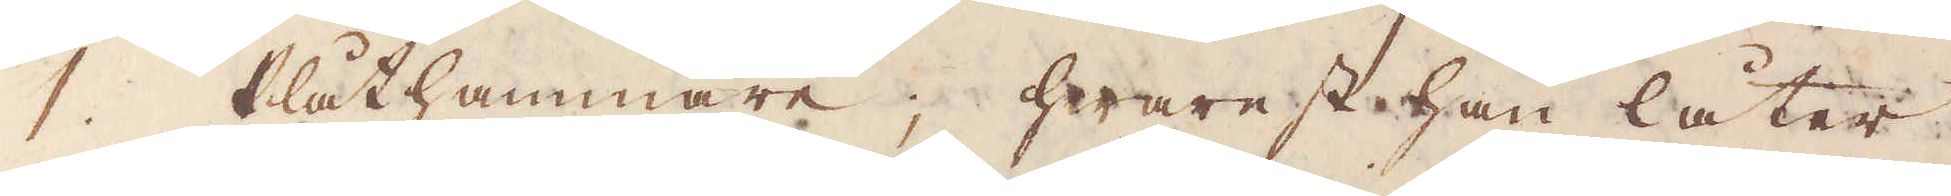1:o Plåthammare; hwarest han låter
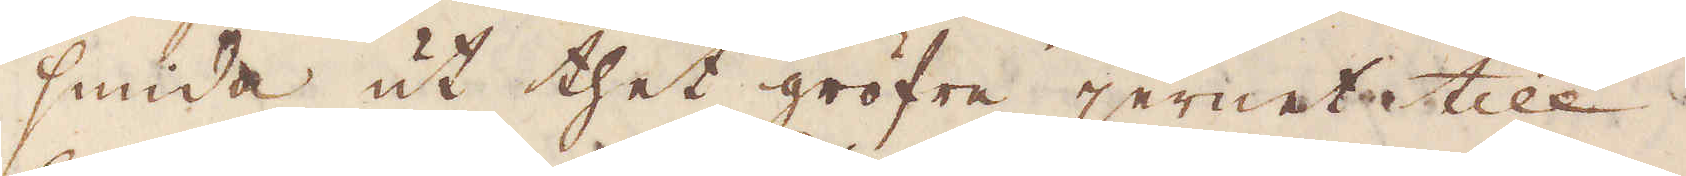smida ut thet gröfre jernet till
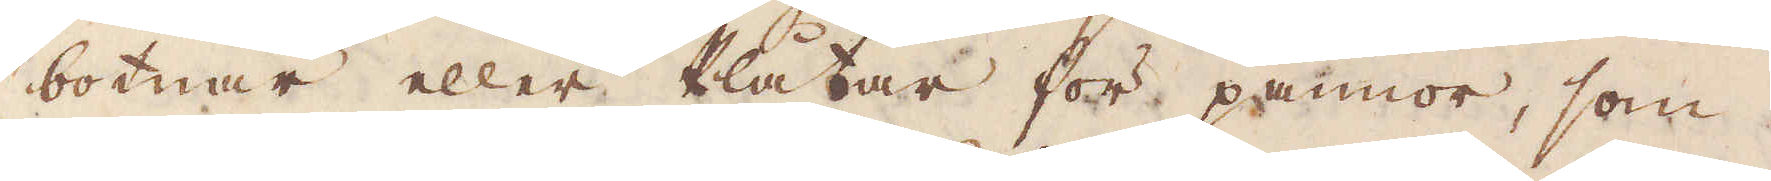botnar eller Plåtar för pannor, som
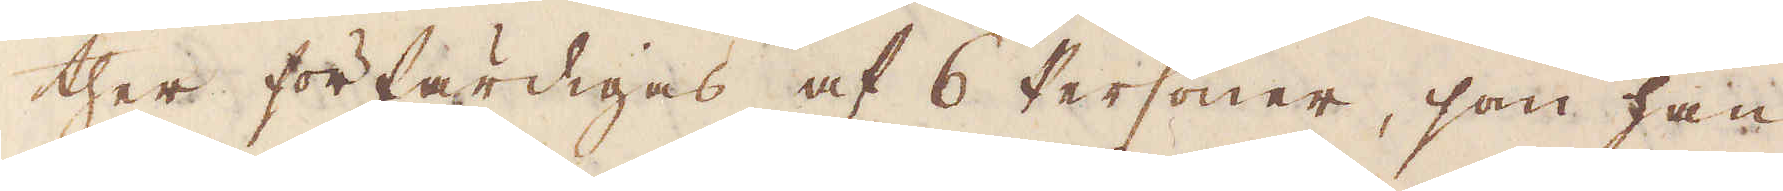ther förfärdigas af 6 Personer, som han
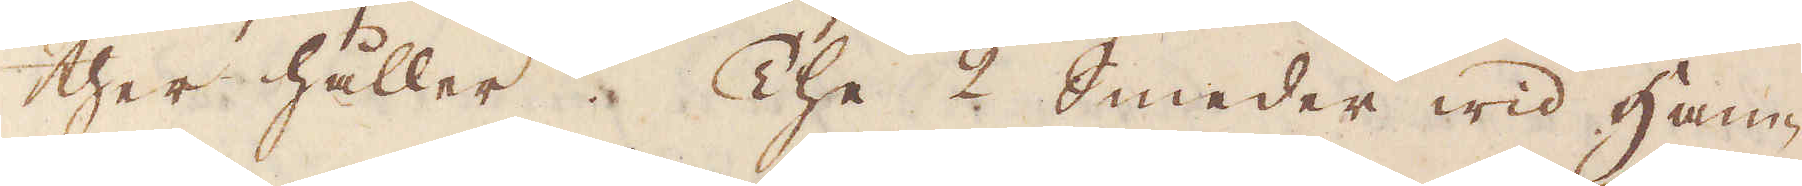ther håller. The 2 Smeder wid Ham-
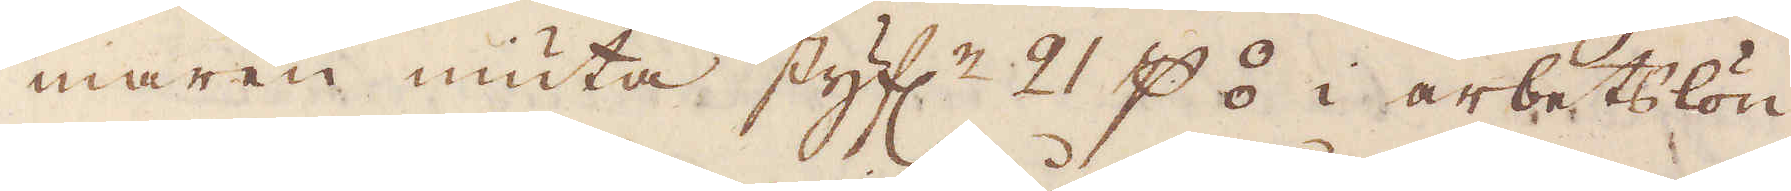maren niuta styf:r 21 p ⦂ i arbetslön,
